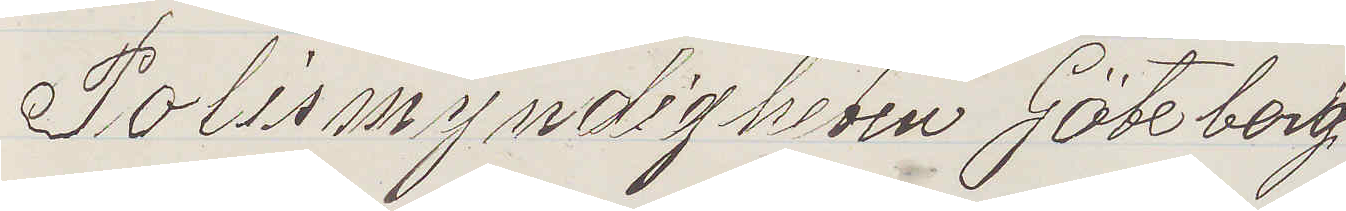Polismyndigheten Göteborg
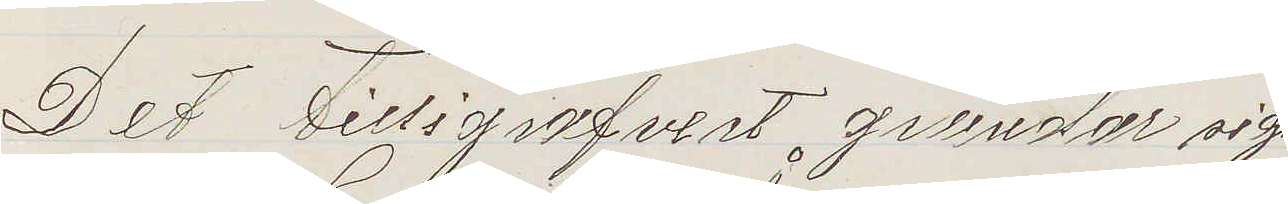Det Tilligrafvert grundas sig
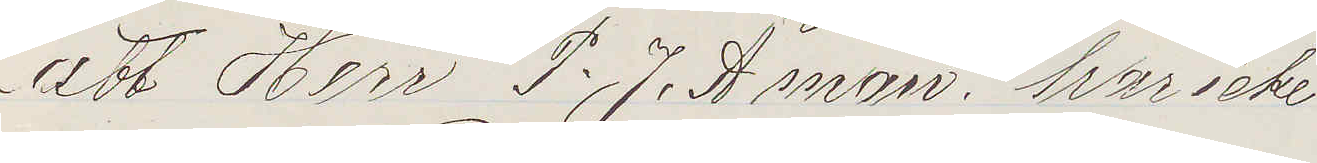att Herr P. J. Åman, har icke
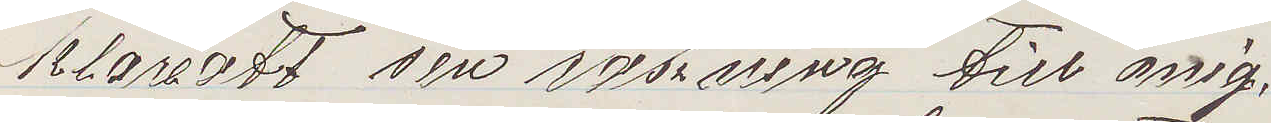klarertt sin räkning till mig,
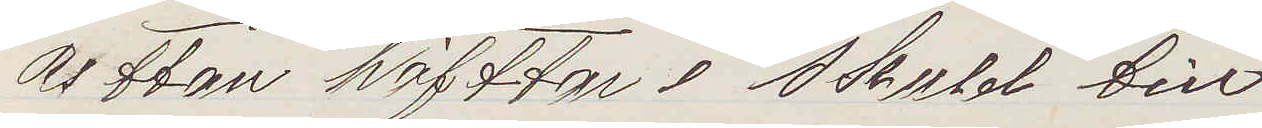uttan häfttar i skuld till
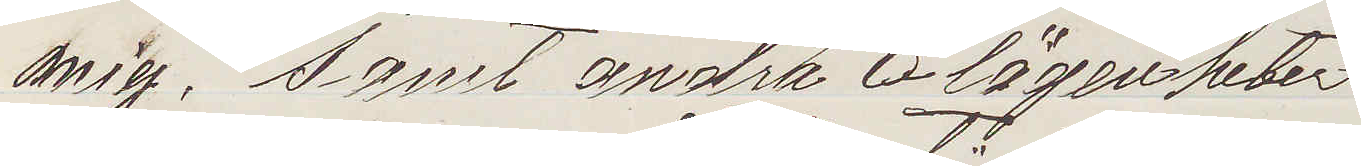mig, samt andra olägenheter
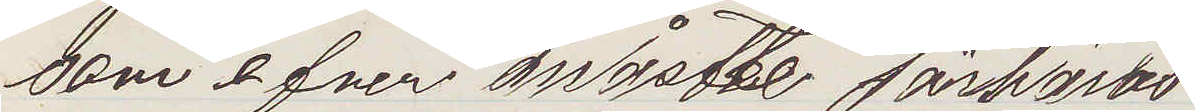som efven måstte förhöras
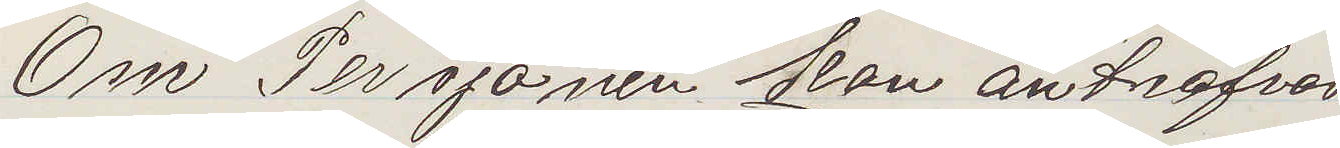Om Persjonen kan anträfvas
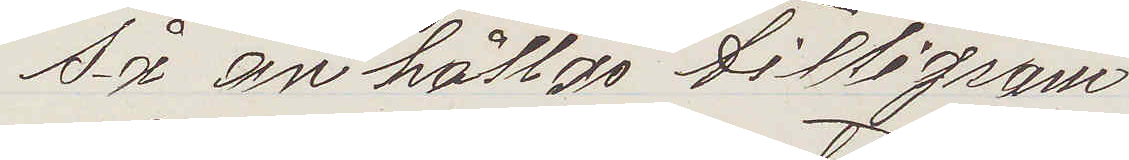så anhållas tilligram
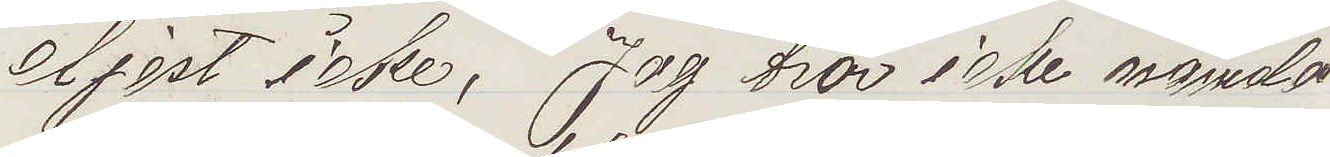eljest icke, Jag tror icke nämnda
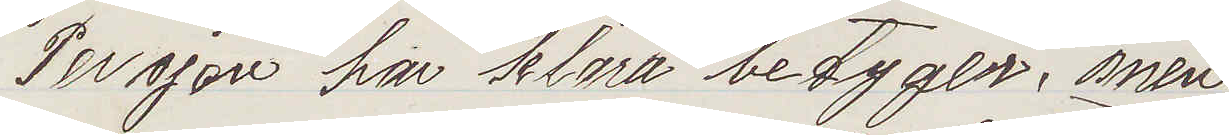Persjon har klara betyger, men
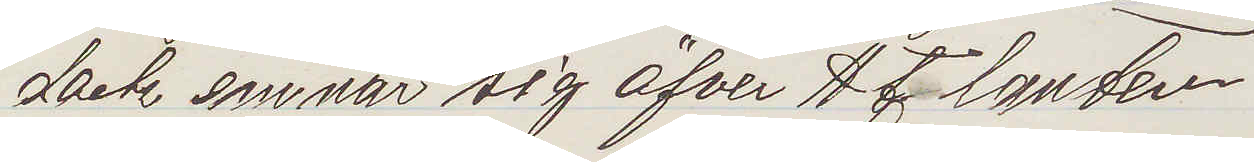dock emnar sig öfver Atlanten
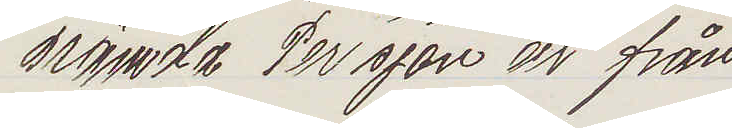Nämnda Persjon är från
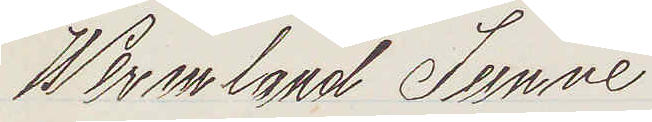Wermland Sunne
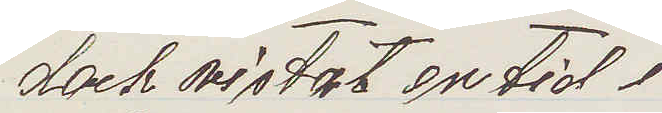dock vistat en tid i
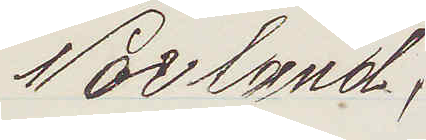Norland,
